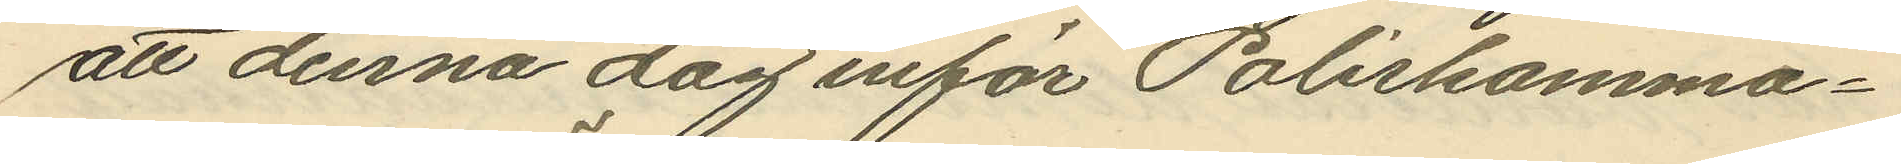att denna dag inför Poliskamma¬
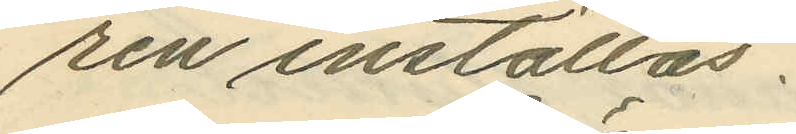ren inställas.
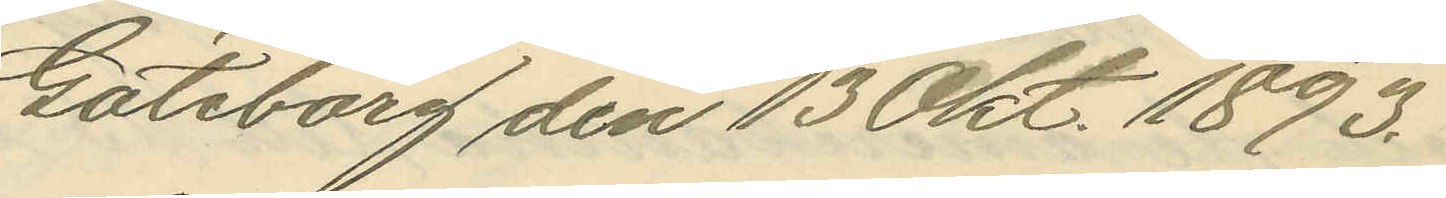Göteborg den 13 0kt. 1893.
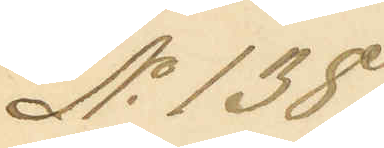No 138.
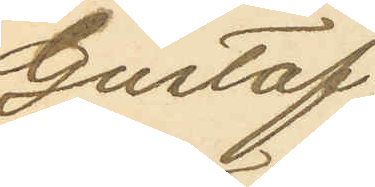Gustaf
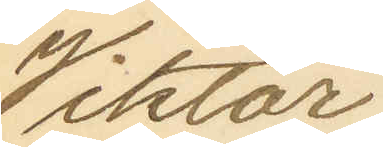Viktor
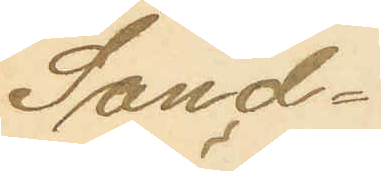Sand¬
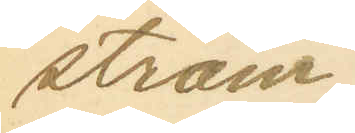ström
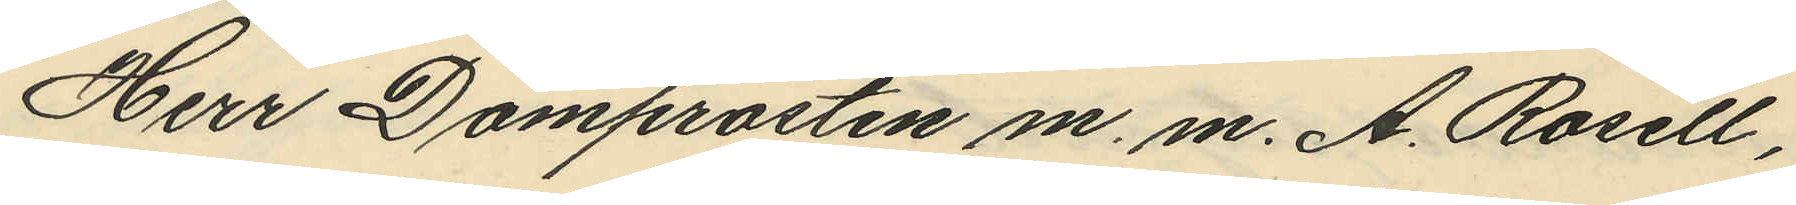Herr Domprosten m. m. A. Rosell,
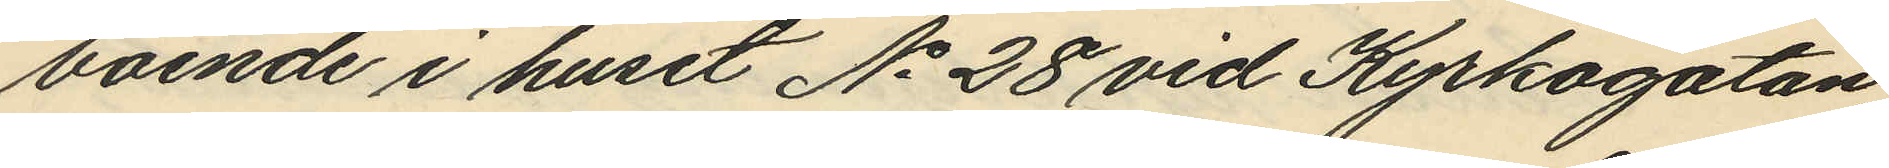boende i huset No 28 vid Kyrkogatan,
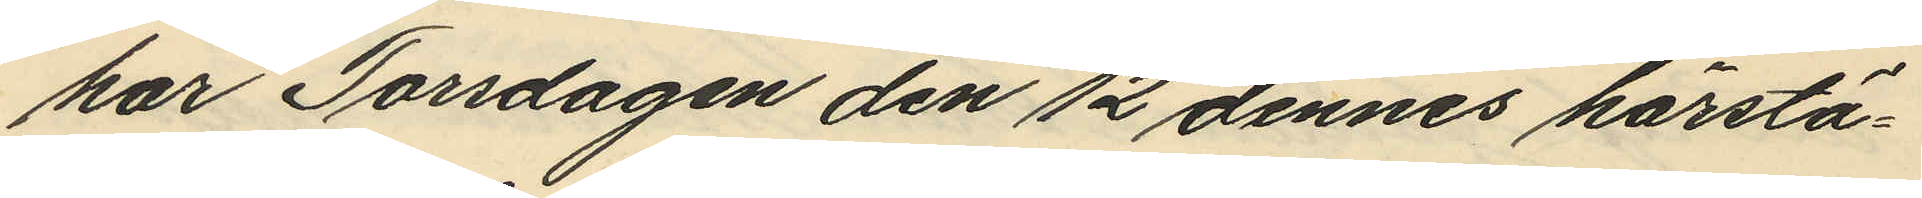har Torsdagen den 12 dennes härstä¬
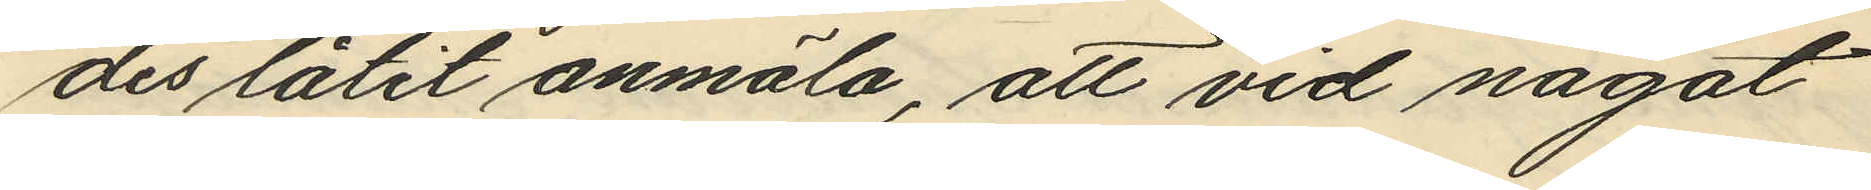des låtit anmäla, att vid något
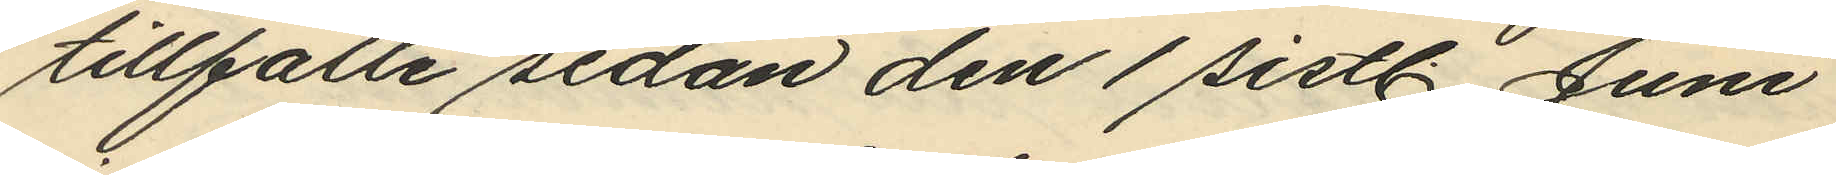tillfälle sedan den 1 sistl. Juni
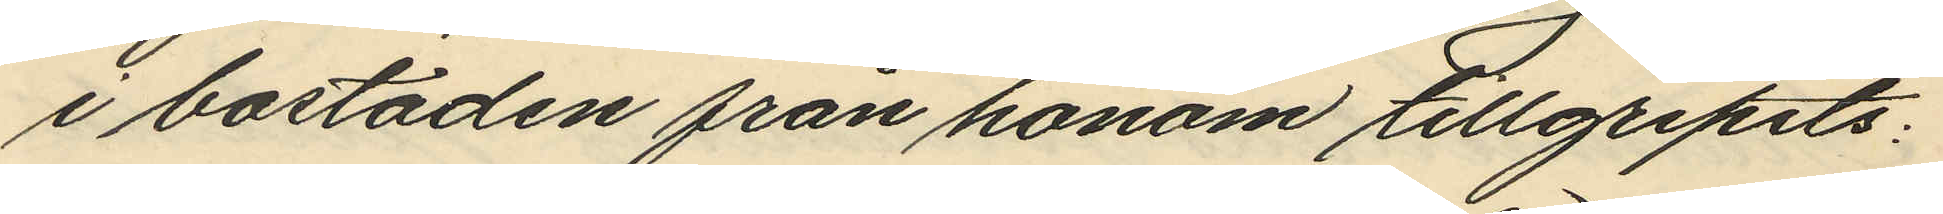i bostaden från honom tillgripits:
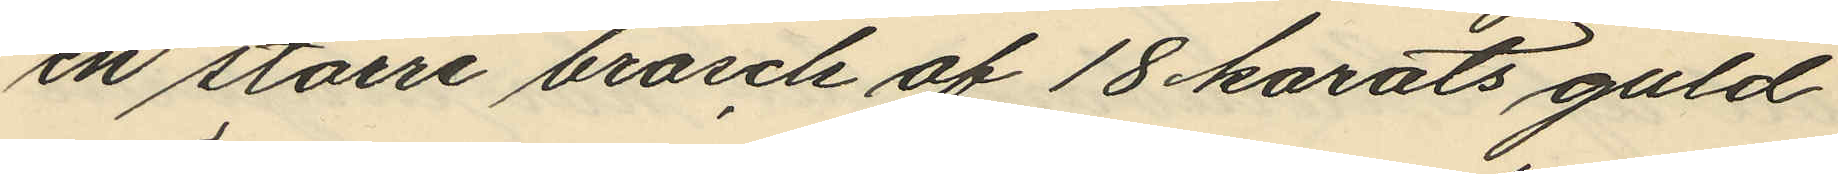en större brosch af 18 karats guld
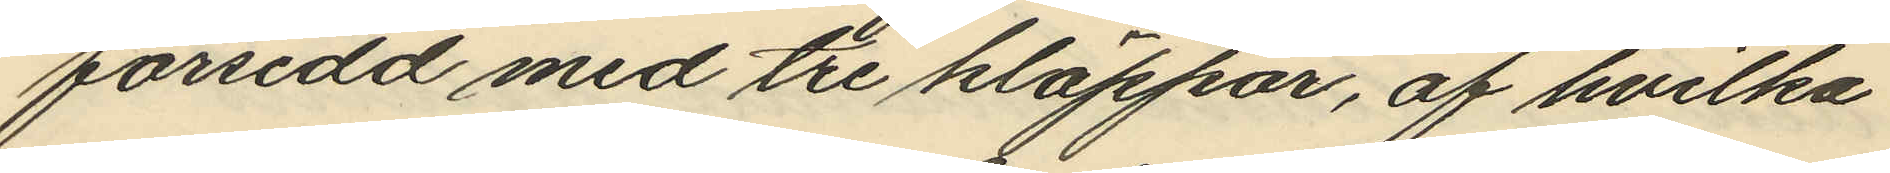försedd med tre kläppar, af hvilka
